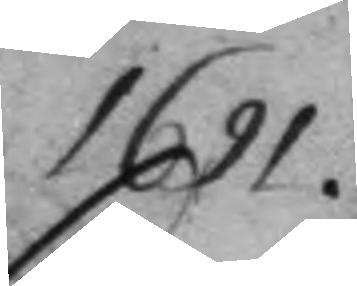1691.
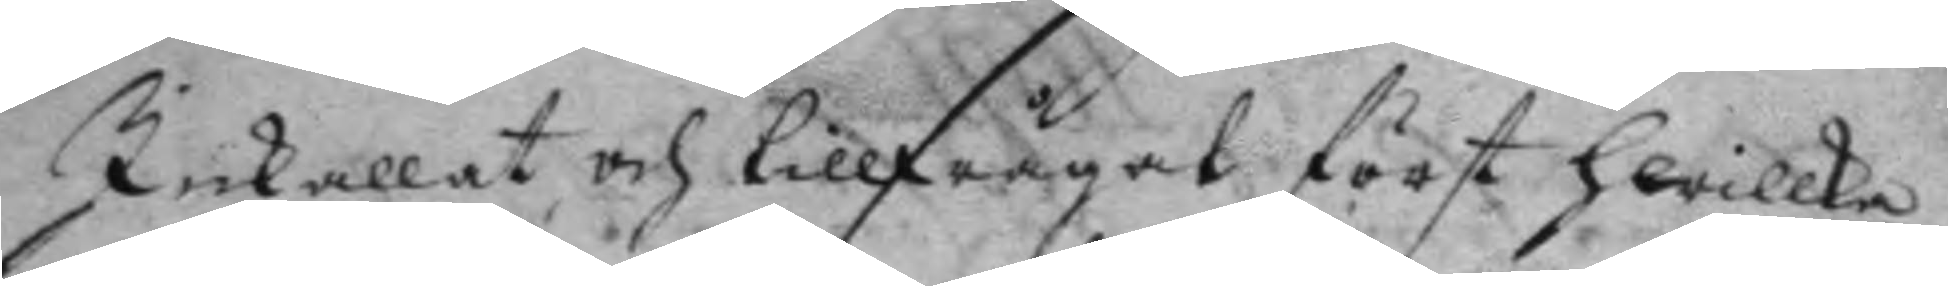Inkallat och tillfrågat först hwilka
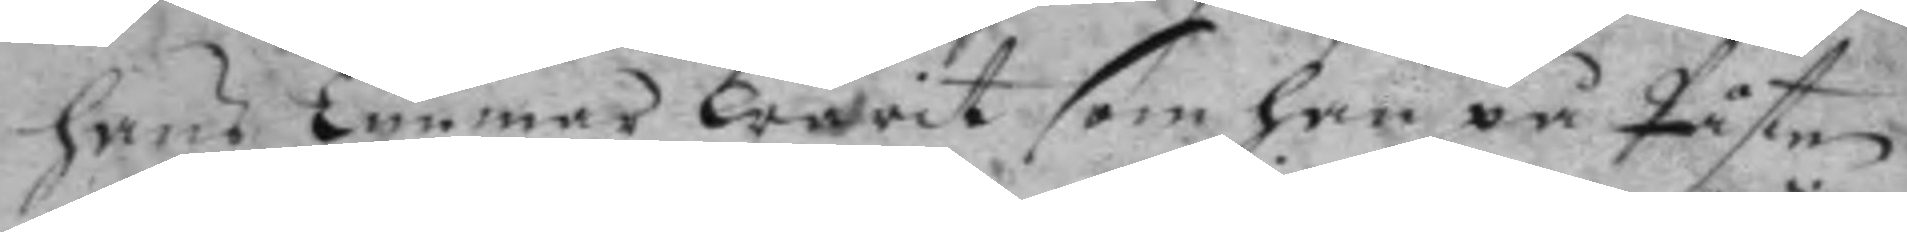hans Timmar warit som han på Påsten
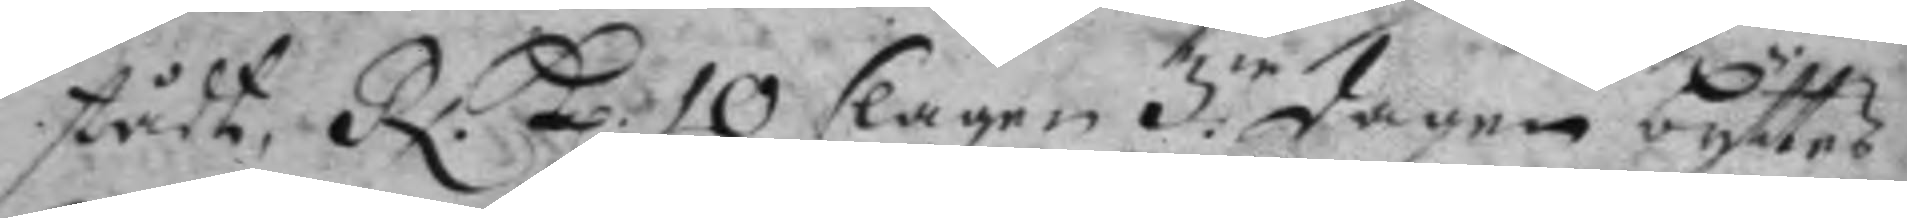stådt, Rx. kl: 10 slagen 3:ie dagen byttes
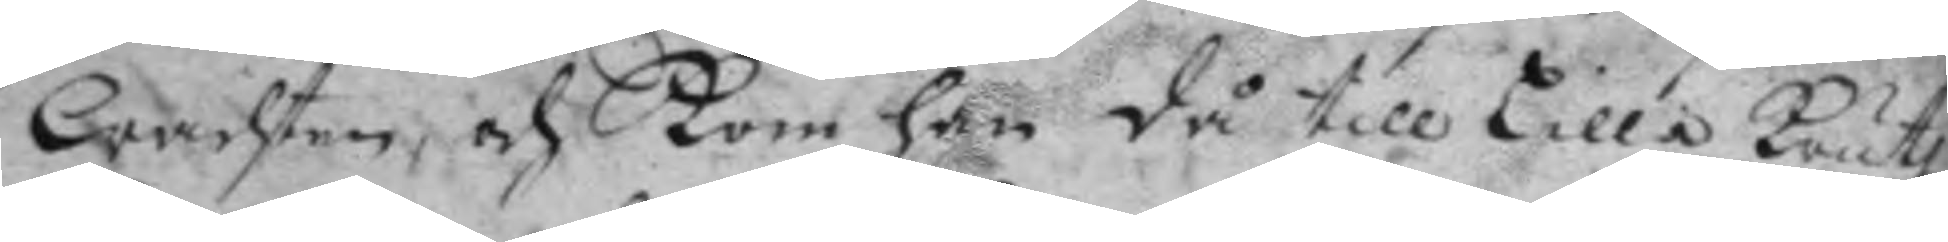wachten, och kom han då till Lilla krutz¬
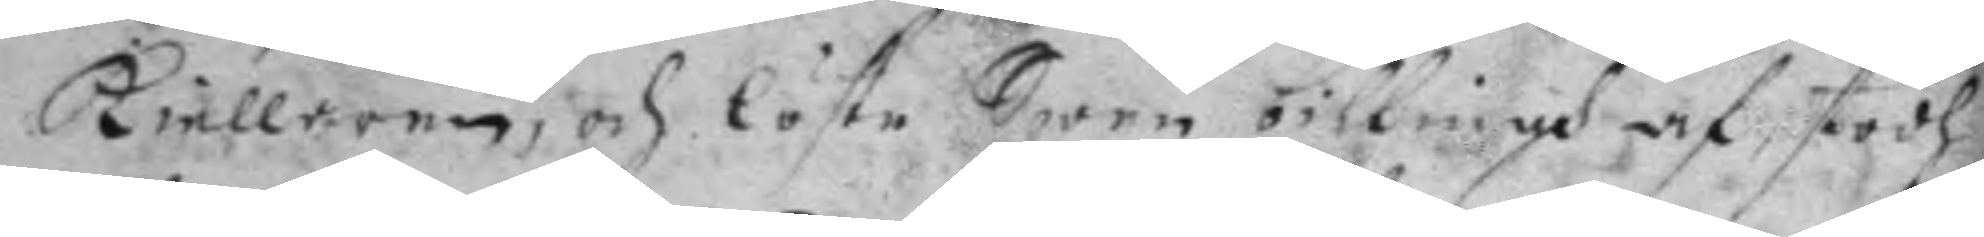kiellaren, och löste Swen billings af, stodh
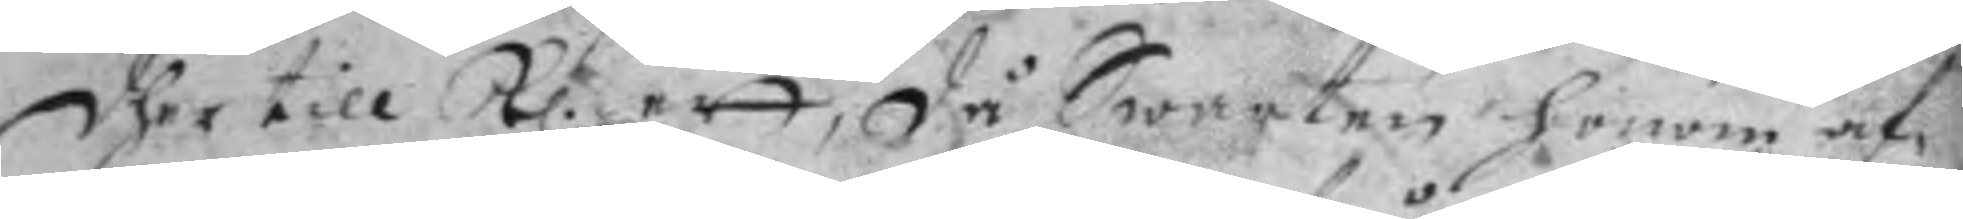dher till kl. ett, då Swarten honom af¬
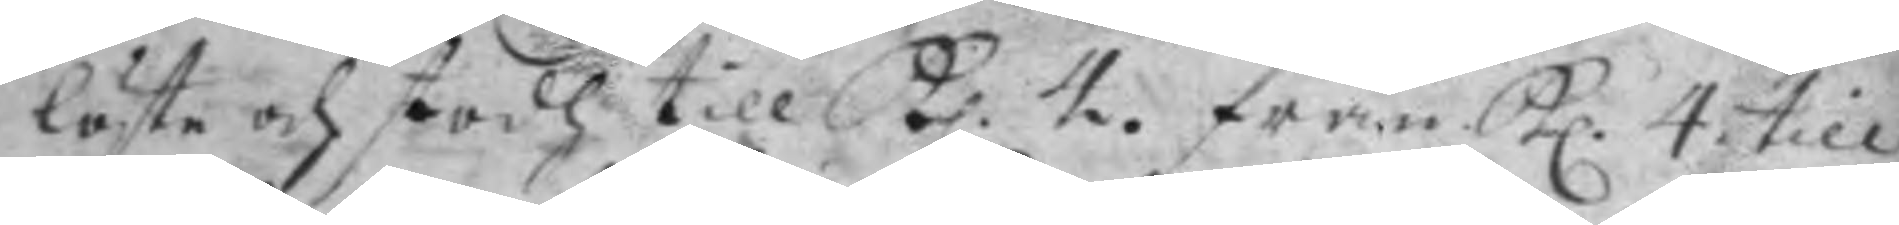löste och stodh till kl. 4. från kl. 4 till
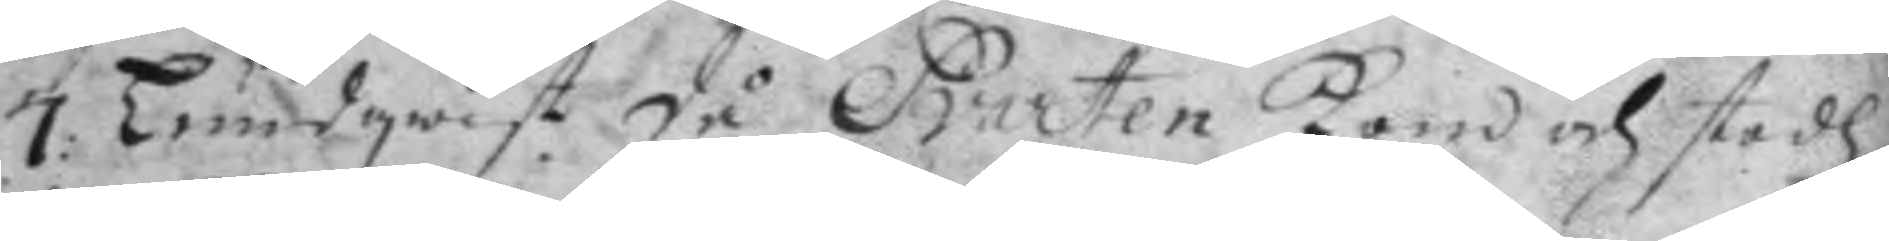7: Lundqwist så Svarten kom och stodh
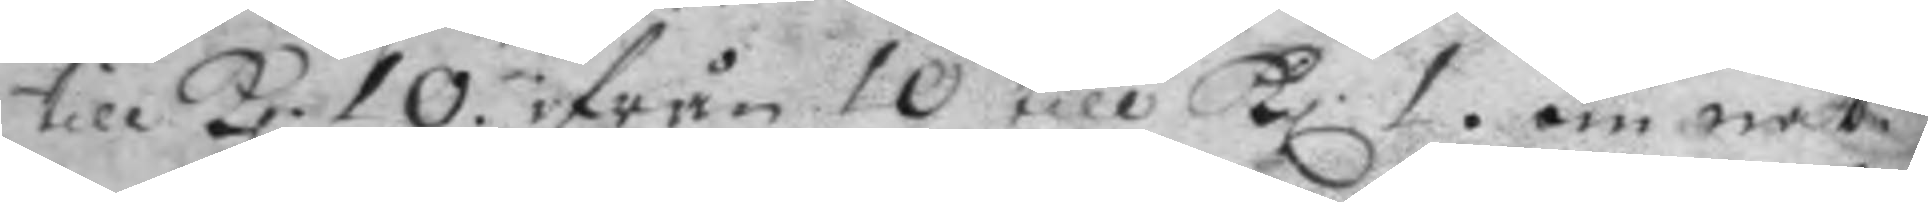till kl. 10. ifrån 10 till kl. 1. om nat¬
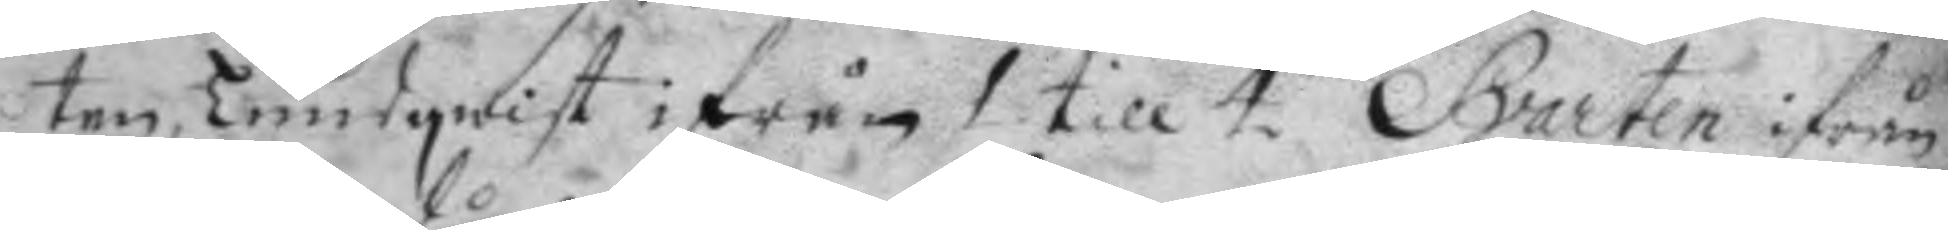ten, Lundqwist ifrån 1 till 4, Svarten ifrån
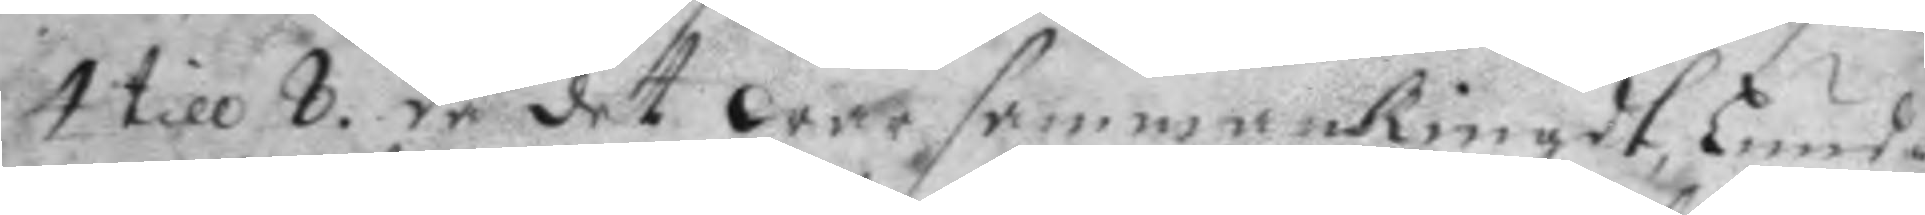4 till 8. då det war sammankringdt, Lund¬
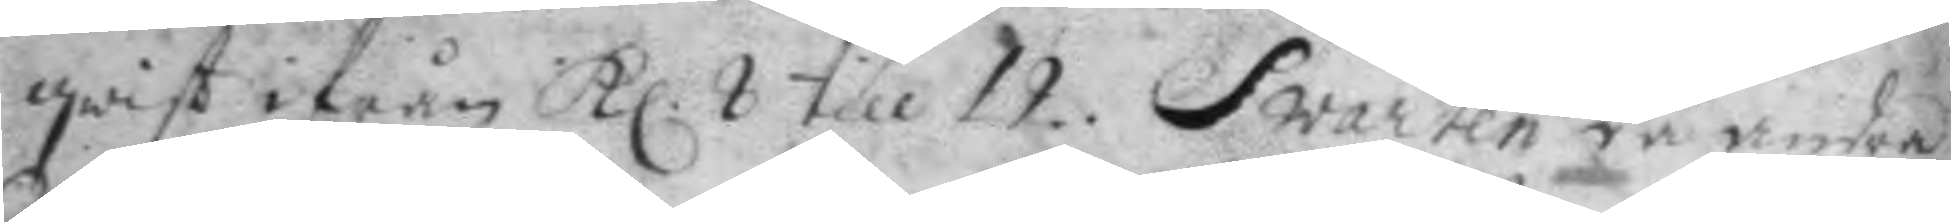qwist ifrån kl. 8 till 12. Svarten då andra
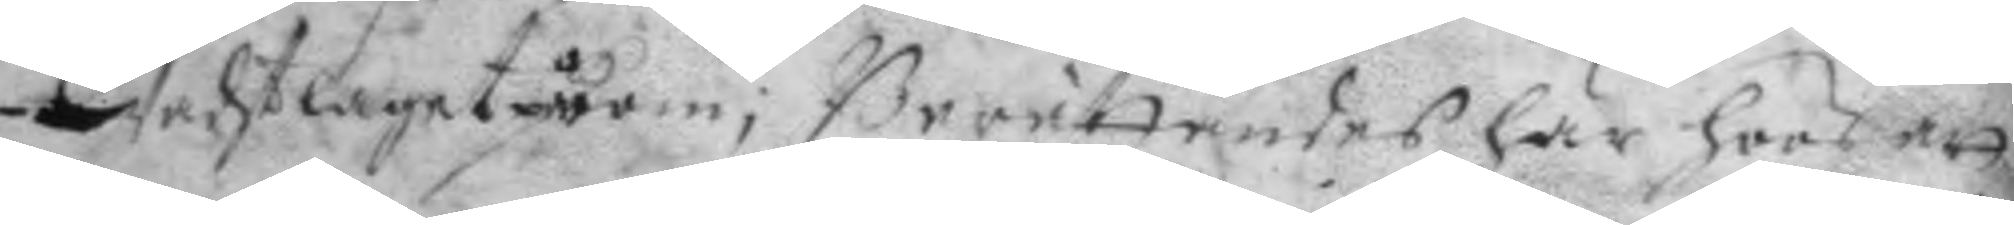wachtlaget påkom; Berättandes här hoos att
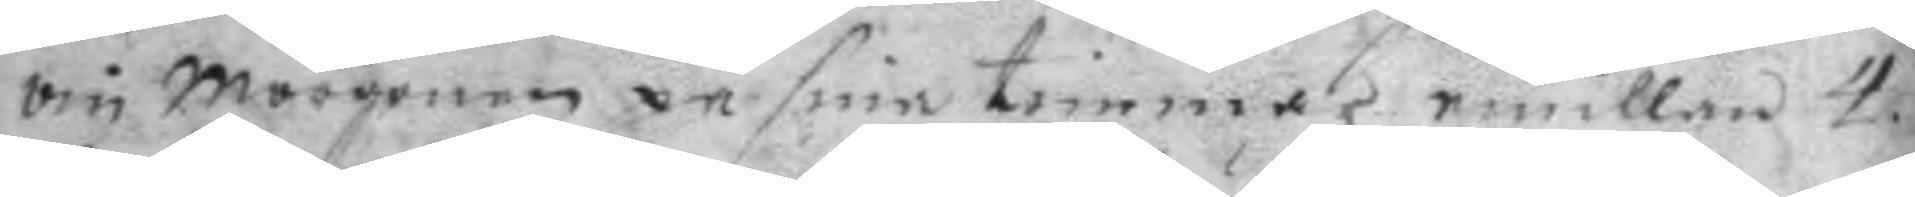om morgonen på sina timmar emillan 4.
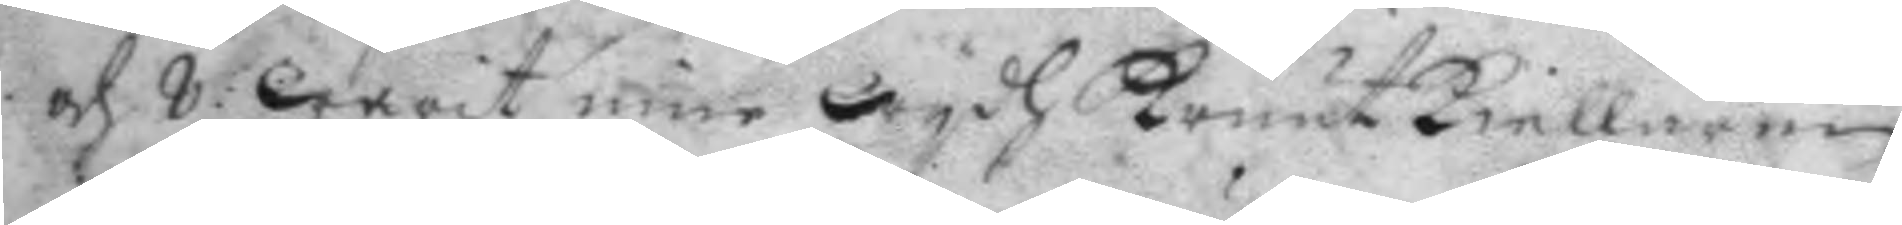och 8: warit inne wydh kruutkiellaren
